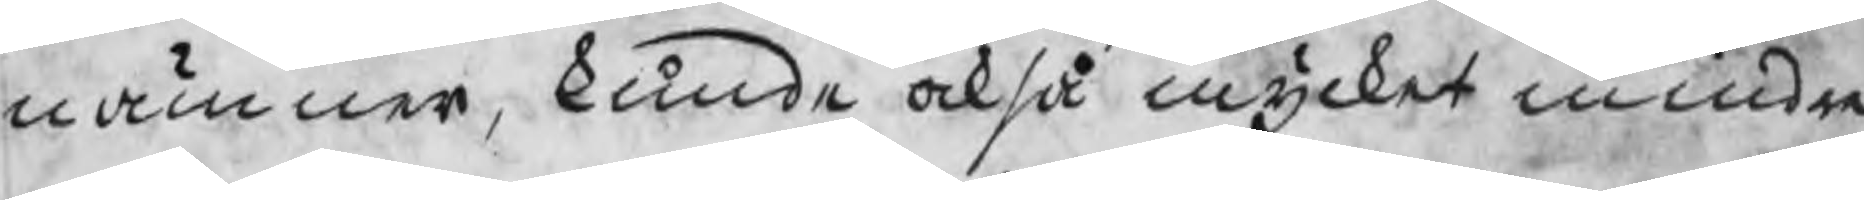nämner, kunde också mycket mindre
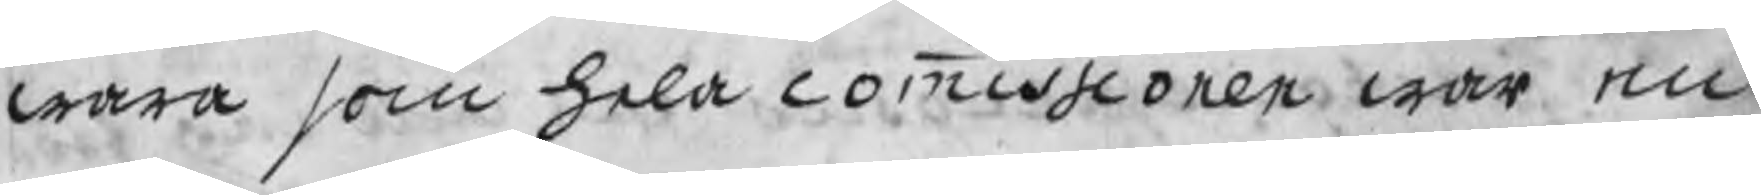wara som hela commissionen war en
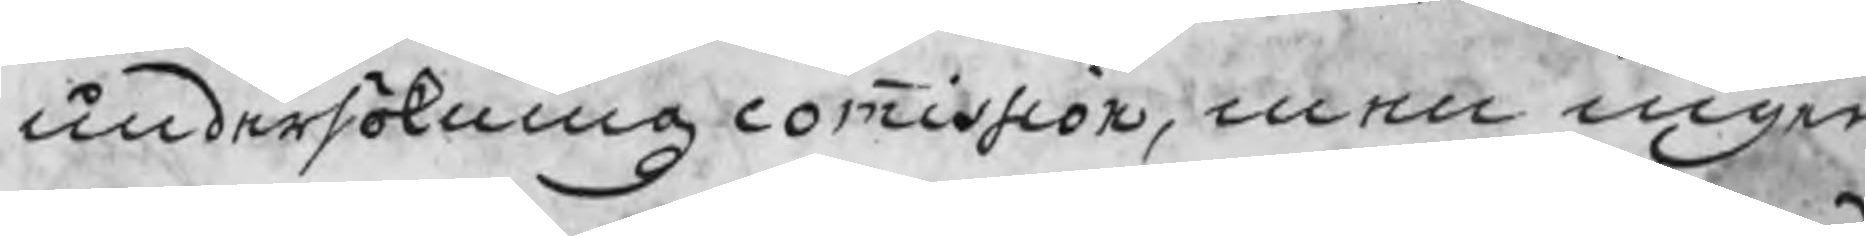undersökningzcommission, men ingen
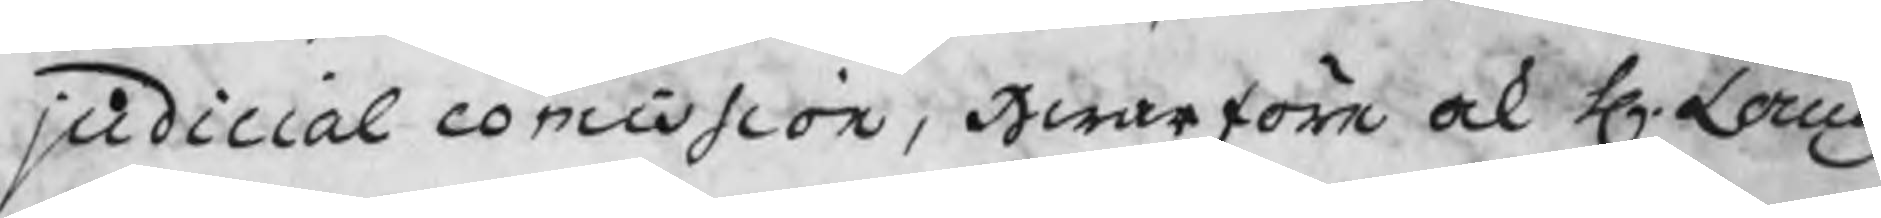judicial comission, Hwarföre ock H. Landz
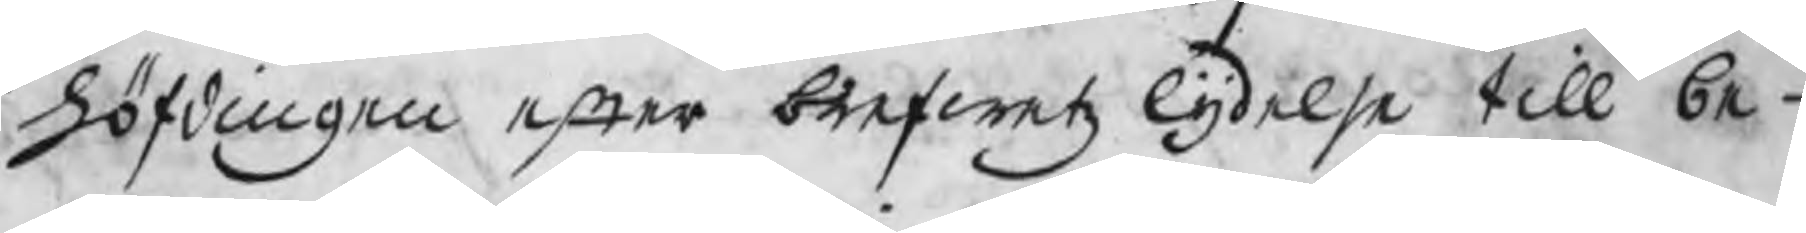höfdingen efter brefwetz lydelse till be¬
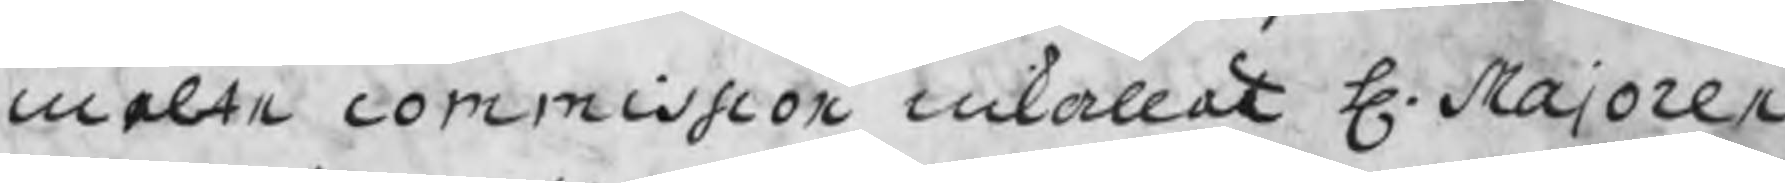melte commission inkallat H. Majoren
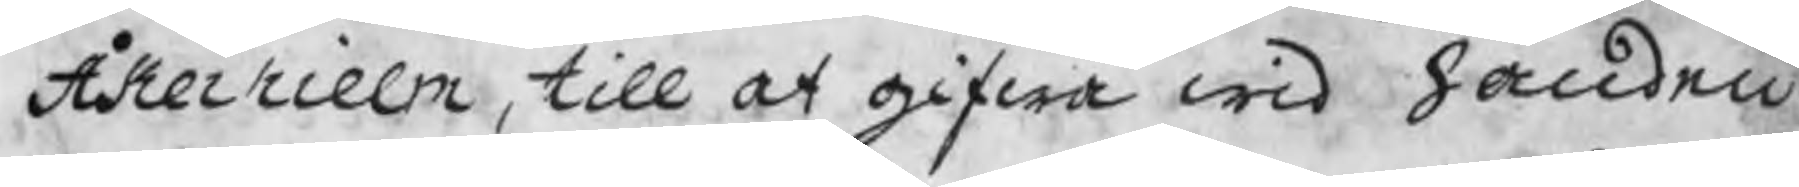Åkerhielm, till at gifwa wid handen
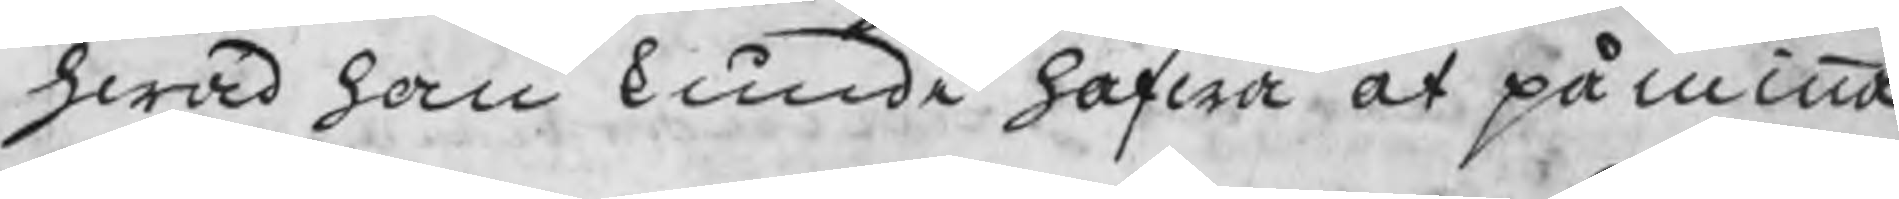hwad han kunde hafwa at påminna
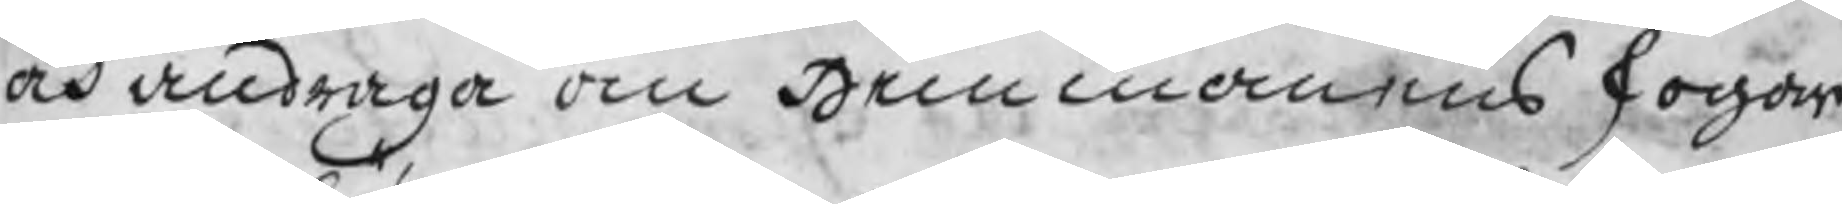och andraga om Hemmanens skogar
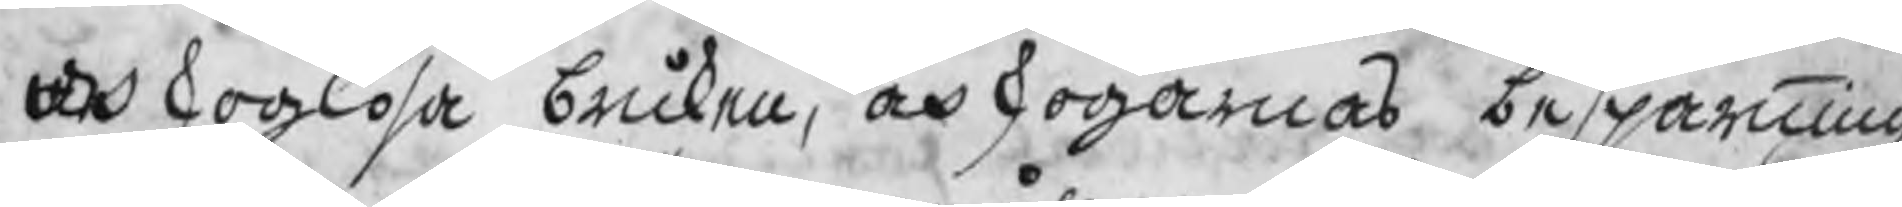och skoglösa bruken, och skogarnas besparning
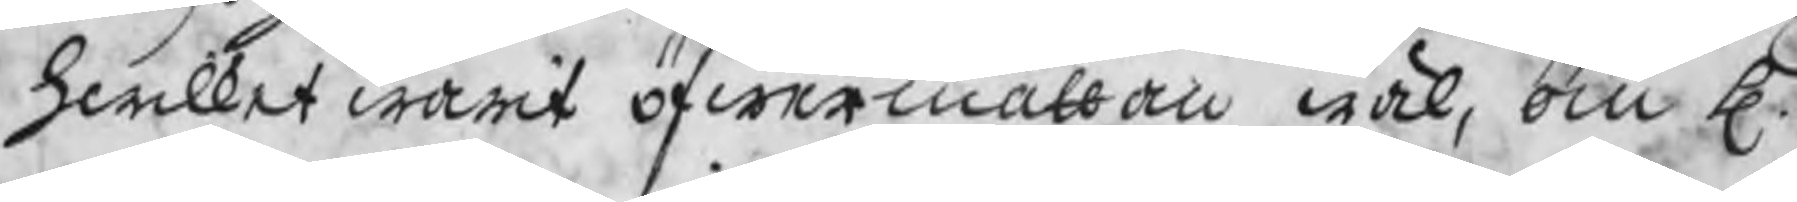hwilket warit öfwermåttan wäl, om H.
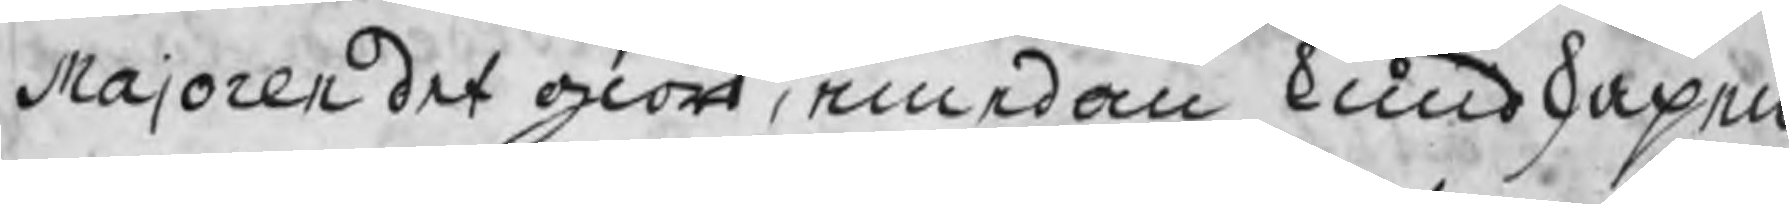Majoren det giort, emedan kundskapen
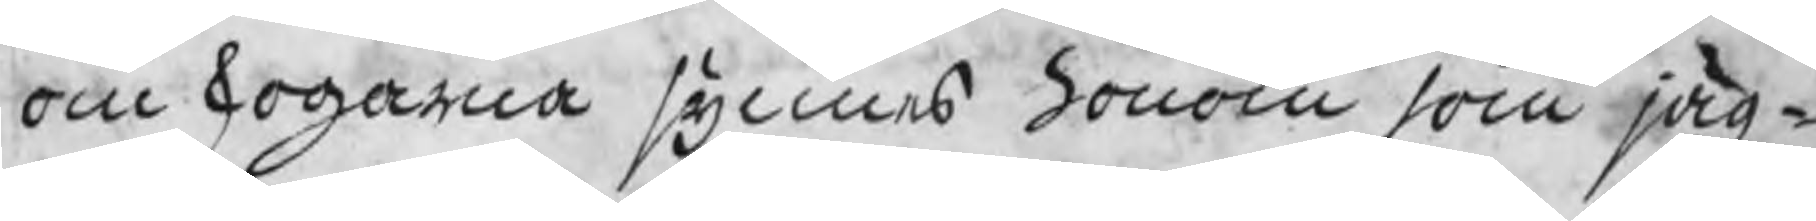om skogarna synnes honom som jäg¬
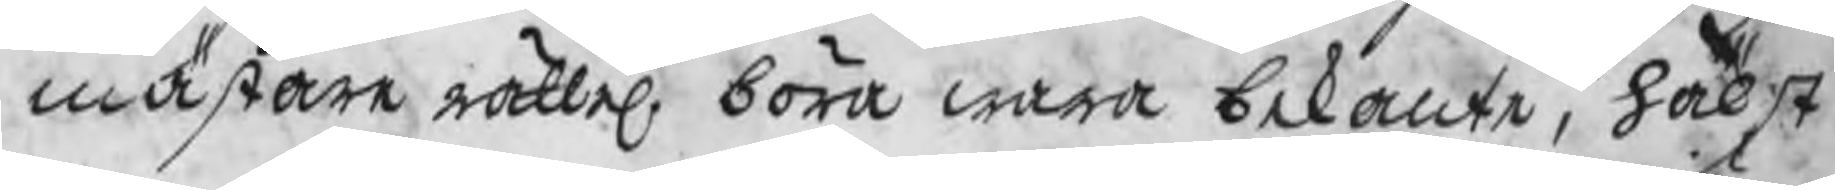mästare rättel. böra wara bekante, hälst
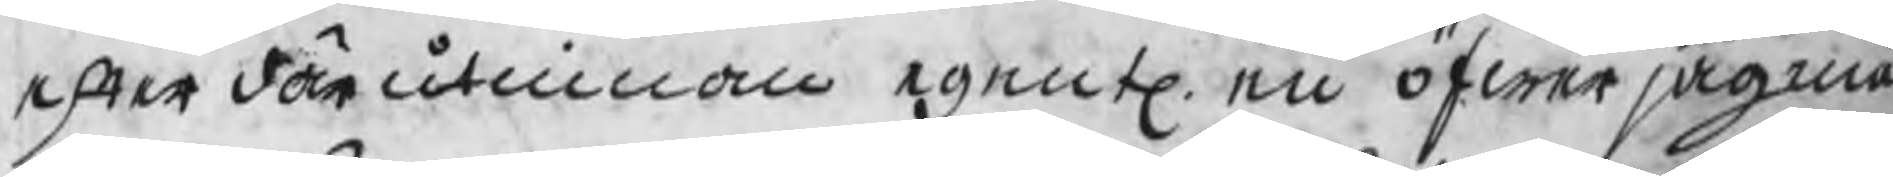efter därutinnan egentl. en öfwerjägmä¬
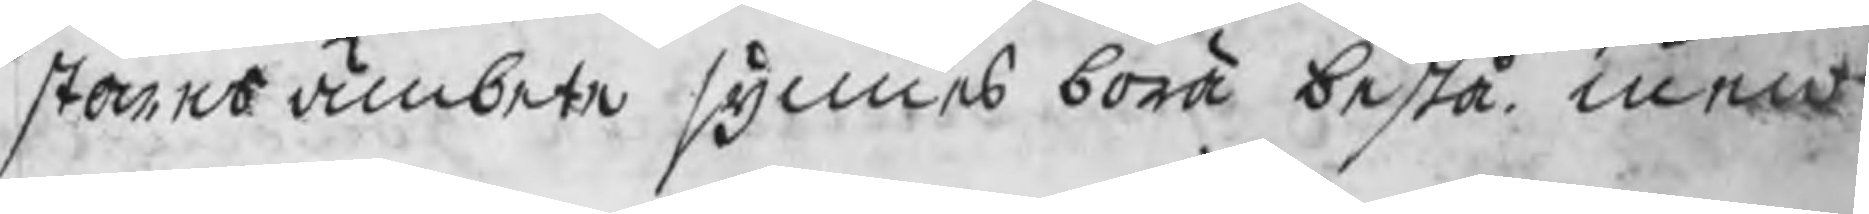stares ämbete synnes böra bestå. men
